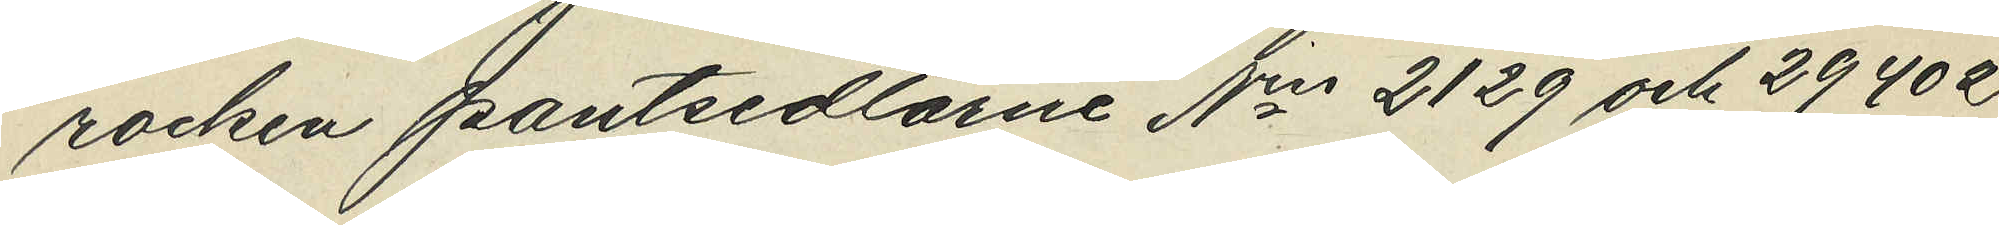rocken pantsedlarne No 2129 och 29402,
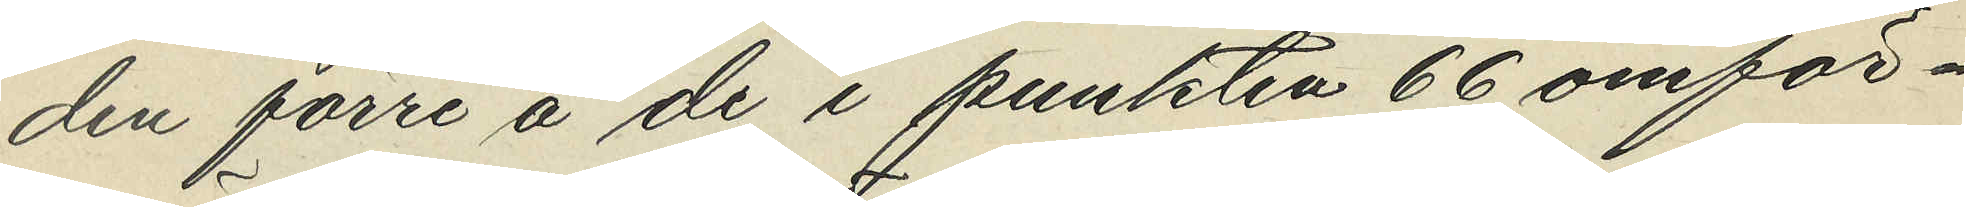den förre å de i punkten 66 omför¬
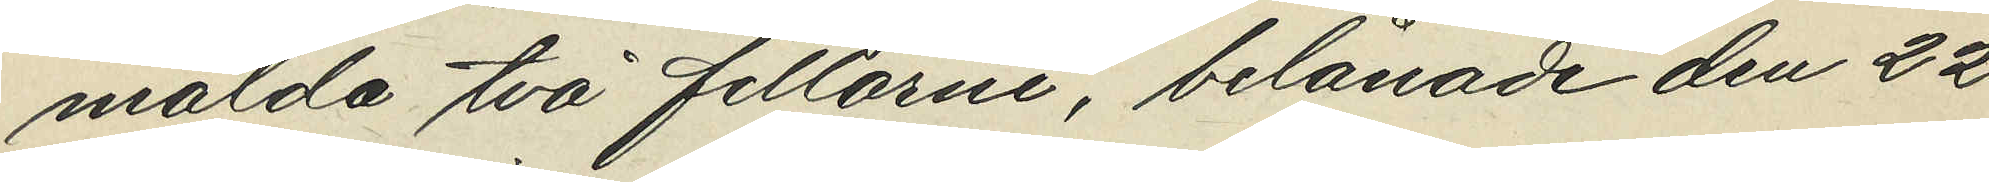mälda två filtarne, belånade den 22
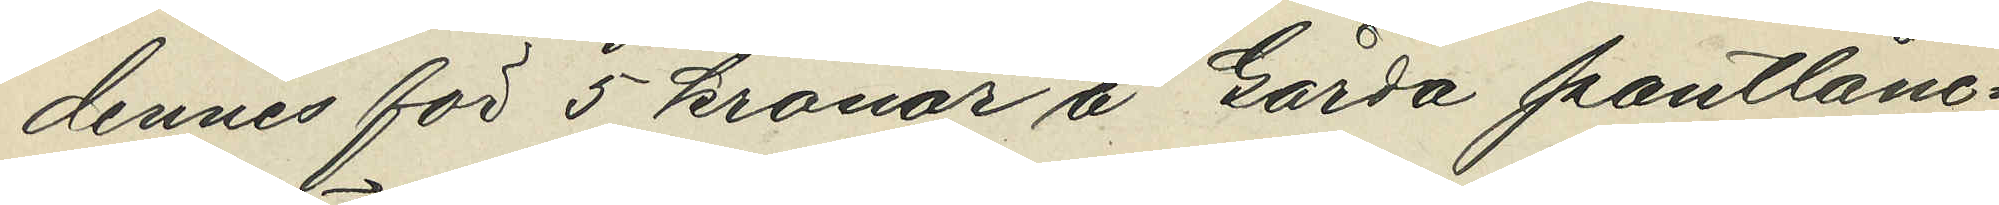dennes för 5 kronor å Gårda pantlåne¬
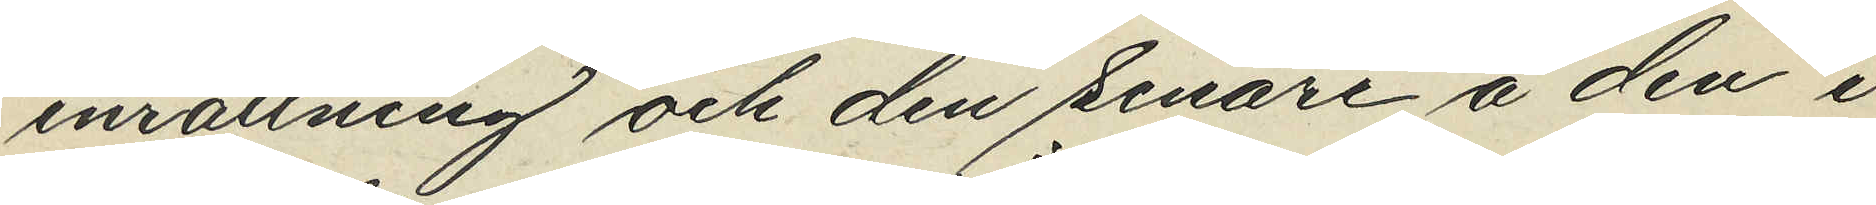inrättning och den senare å den i
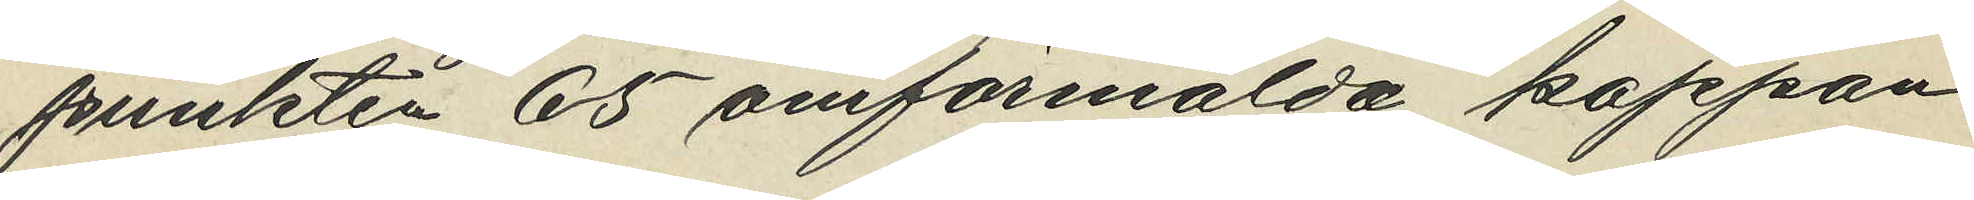punkten 65 omförmälda kappan
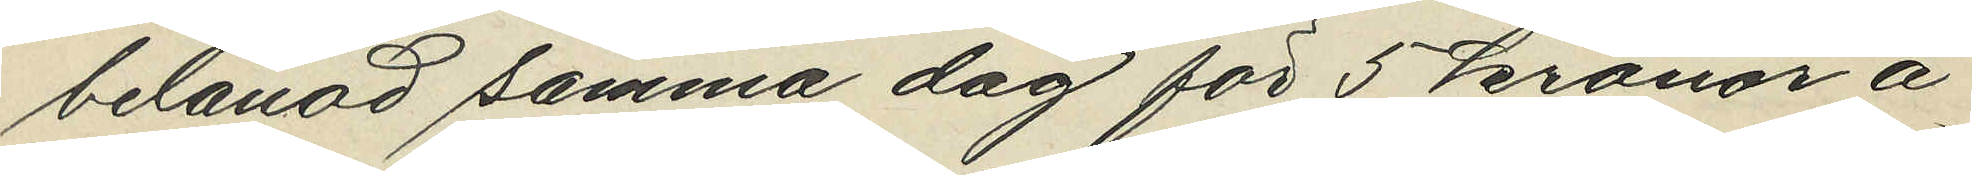belånad samma dag för 5 kronor å
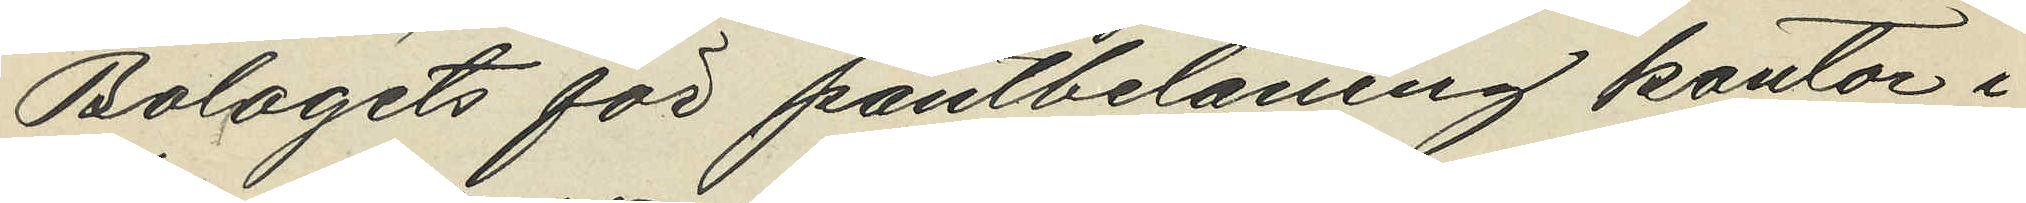Bolagets för pantbelåning kontor i
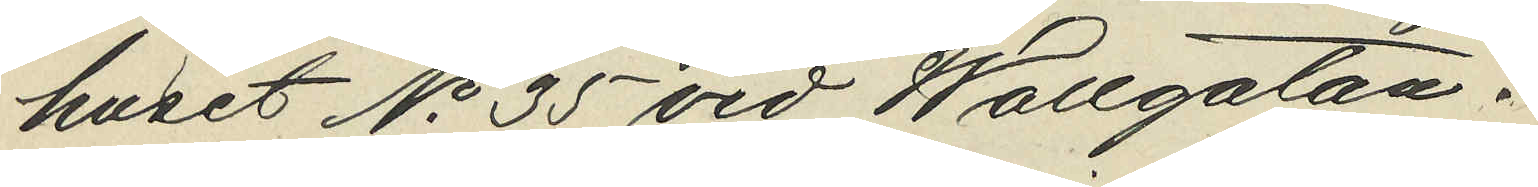huset No 35 vid Wallgatan.
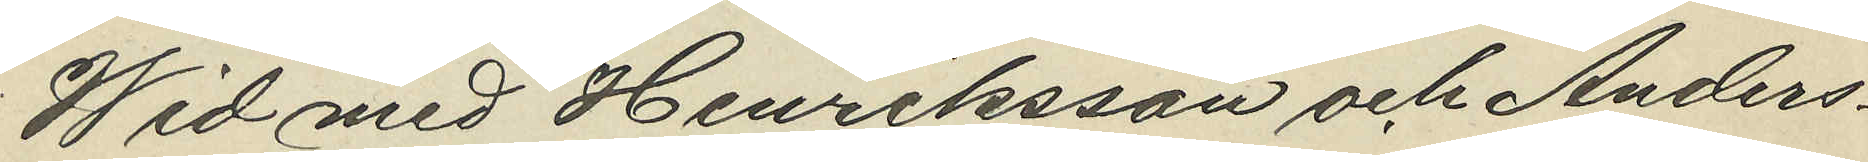Wid med Henriksson och Anders¬
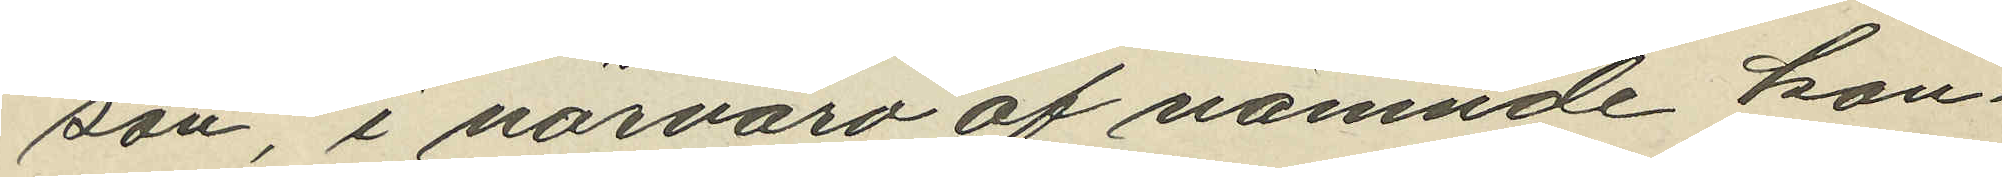son, i närvaro af nämnde kon¬
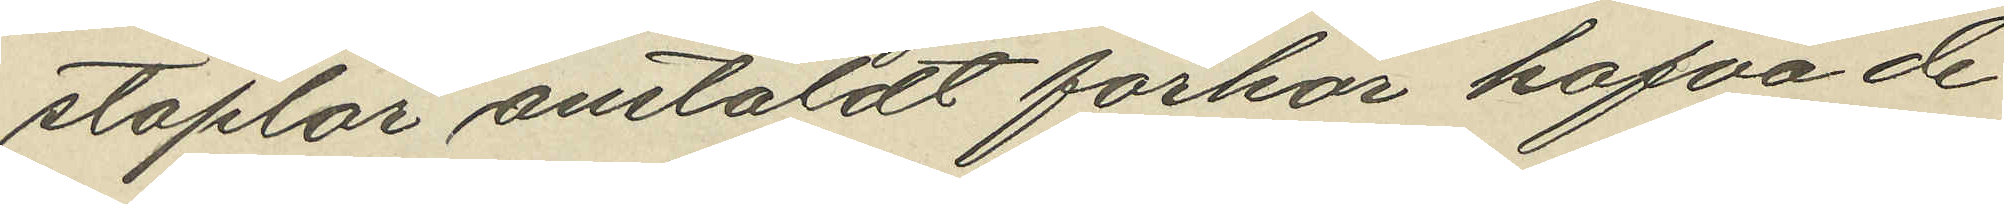staplar anstäldt förhör hafva de
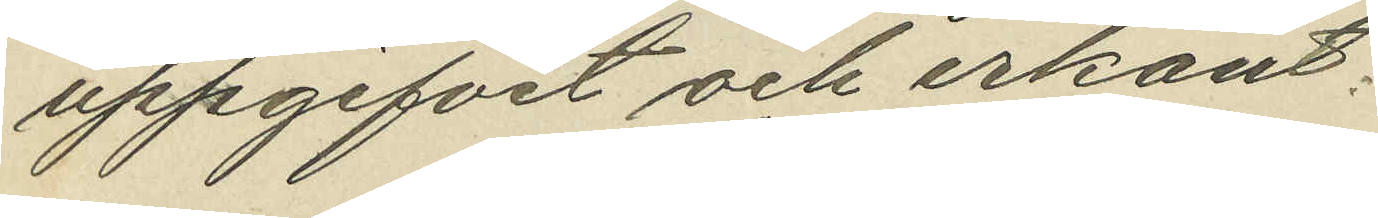uppgifvit och erkänt:
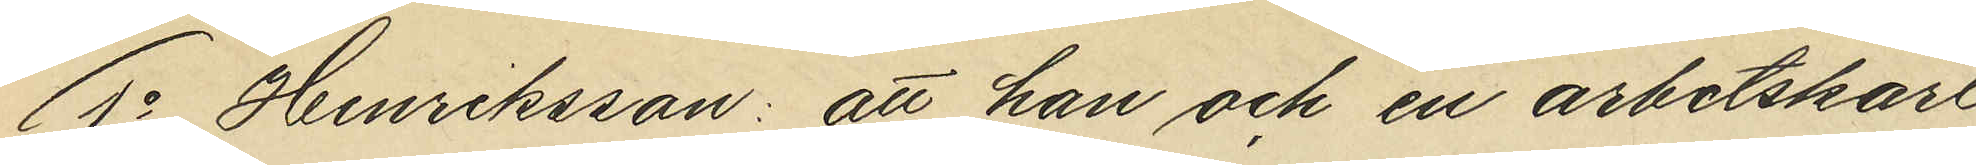1o  Henriksson: att han och en arbetskarl
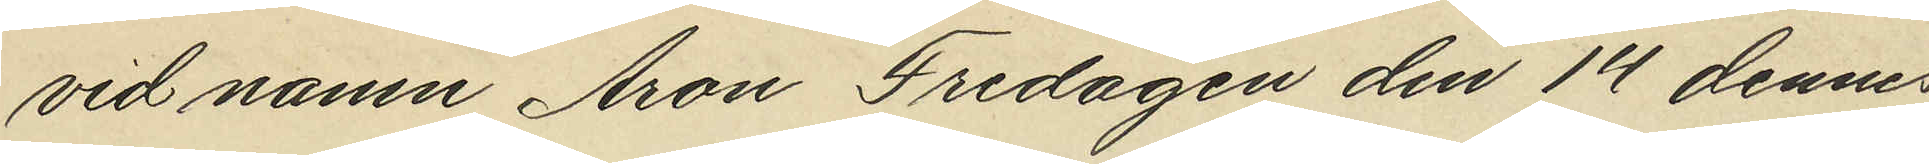vid namn Aron Fredagen den 14 dennes
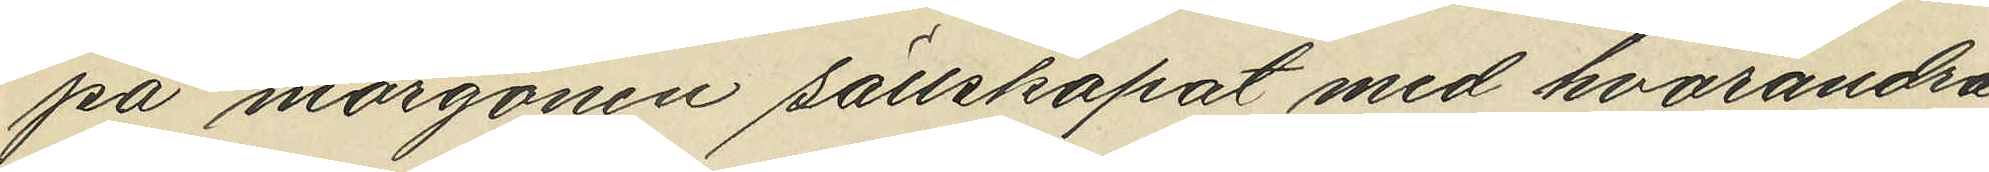på morgonen sällskapat med hvarandra
